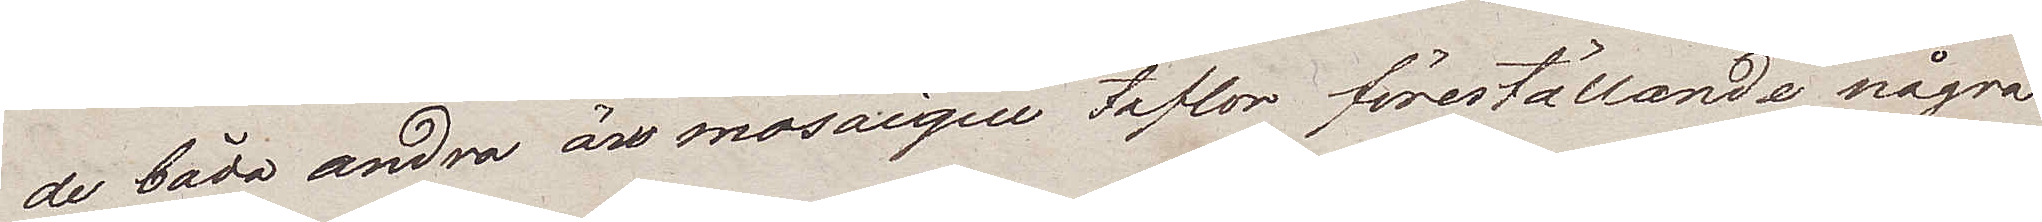de båda andra ärmosaique taflor föreställande några
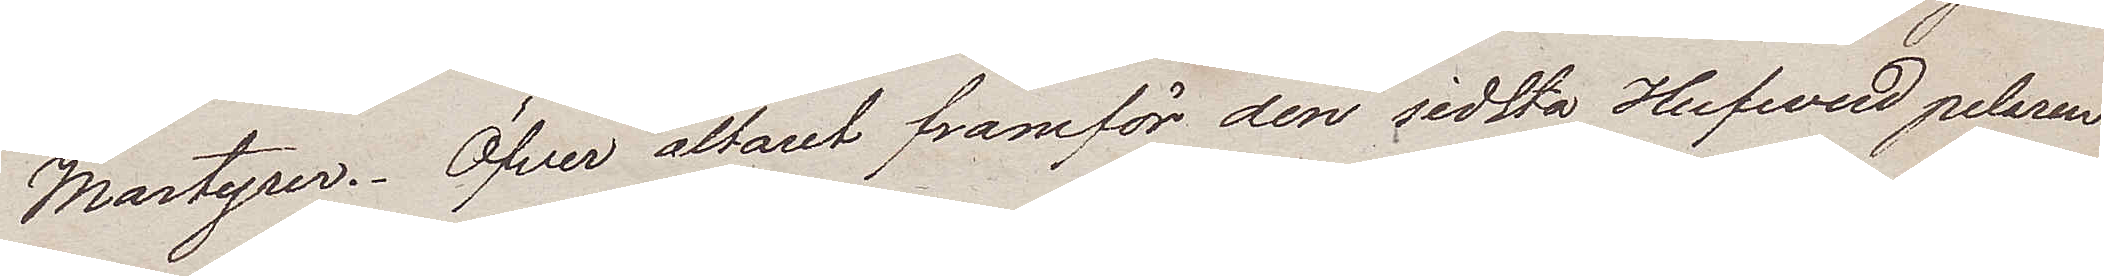Martyrer. Öfver altaret framför den sidsta Hufvud pelaren
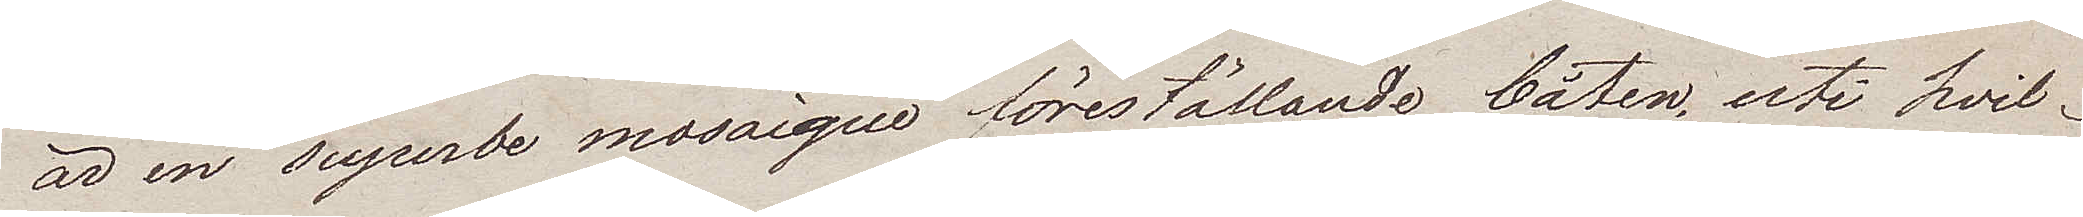är en superbe mosaique föreställande båten, uti hvil¬
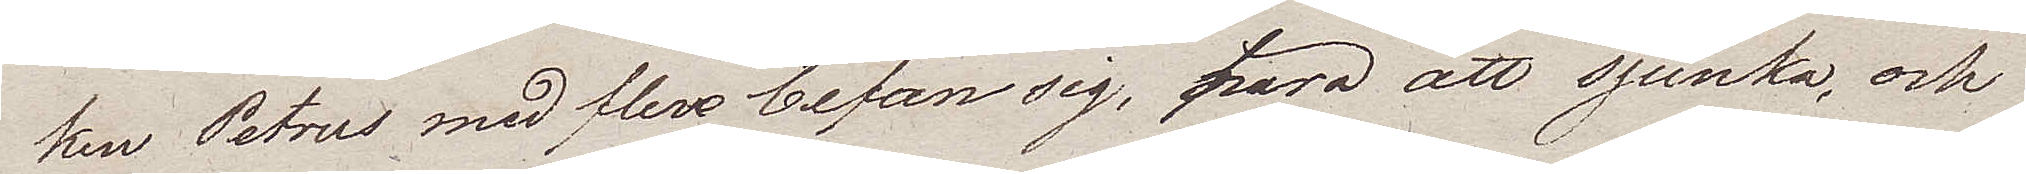ken Petrus med flere befan sig, hära att sjunka, och
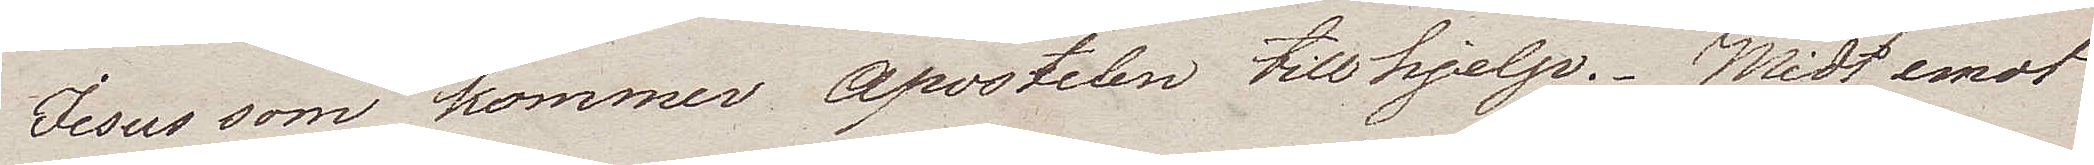Jesus som kommer Apostelen till hjelp. Midt emot
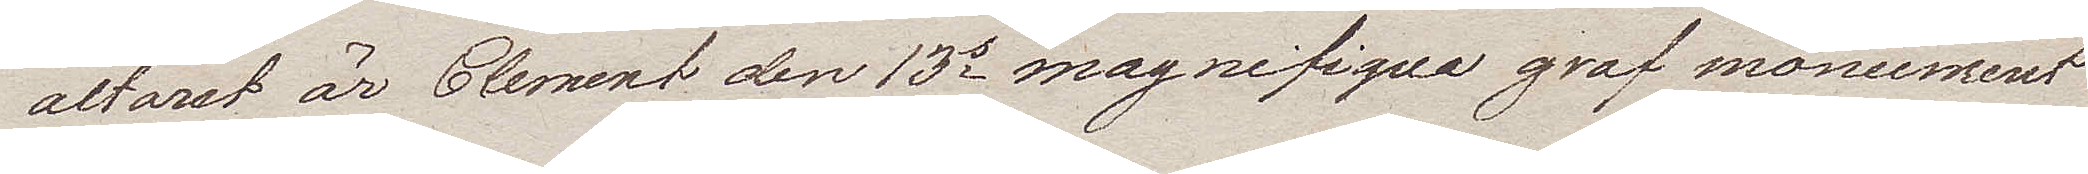altaret är Clement den 13e magnifiqua graf monument
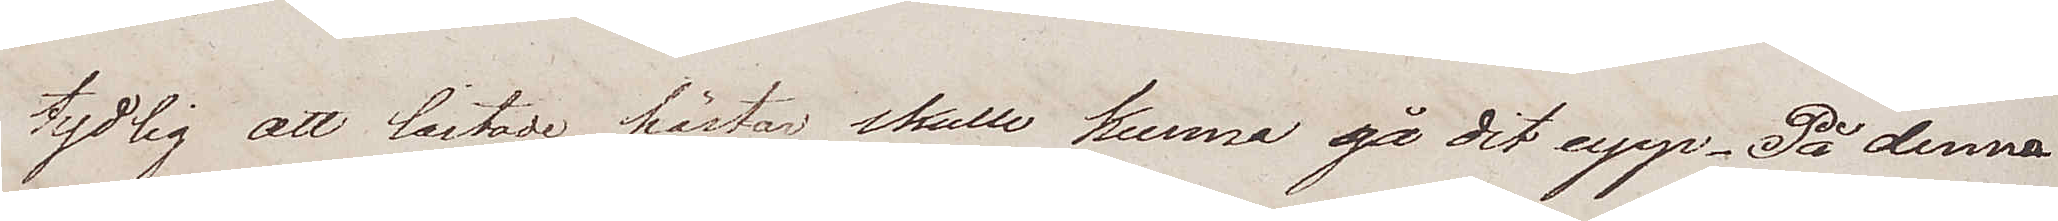tydlig att lastade hästar skulle kunna gå dit upp. På denna
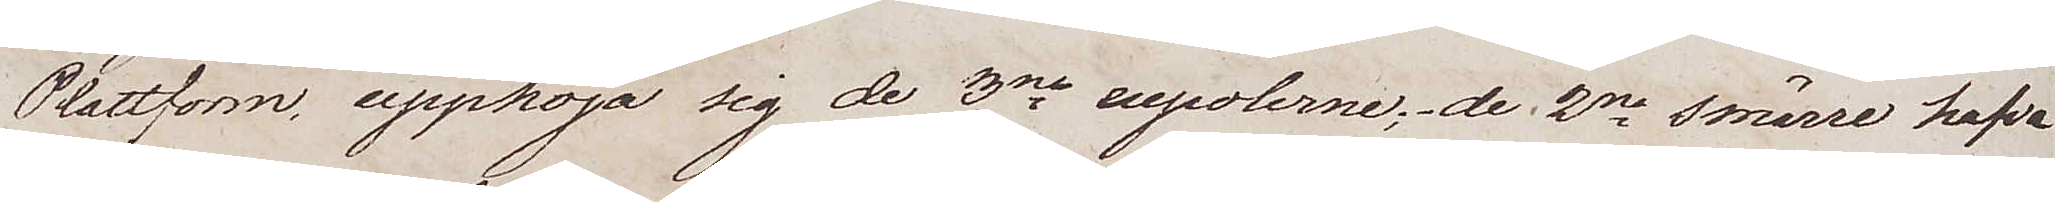Plattform, upphöja sig de 3ne cupolerne; de 2ne smärre hafva
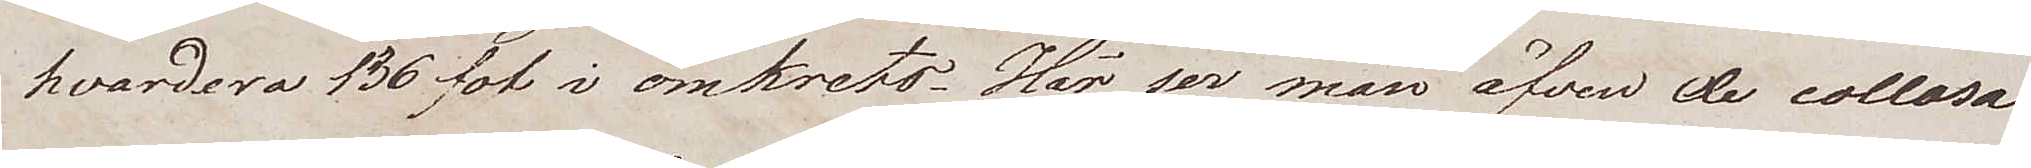hvardera 136 fot i omkrets. Här ser man äfven de collosa¬
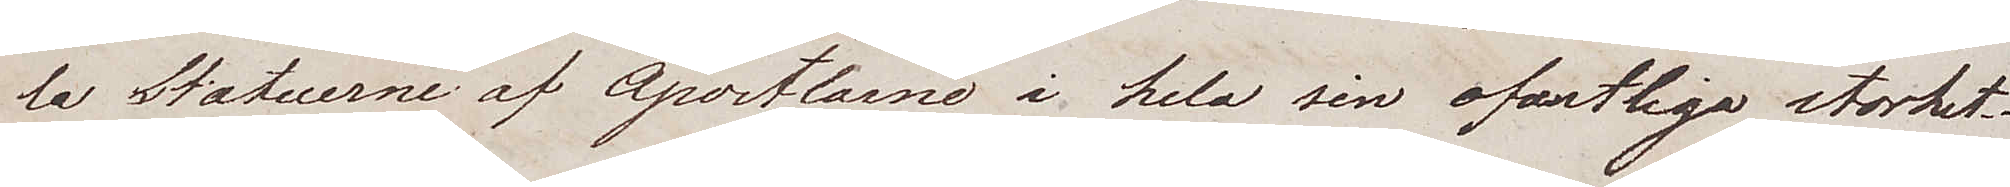la Statuerne af Apostlarne i hela sin ofantliga storhet.
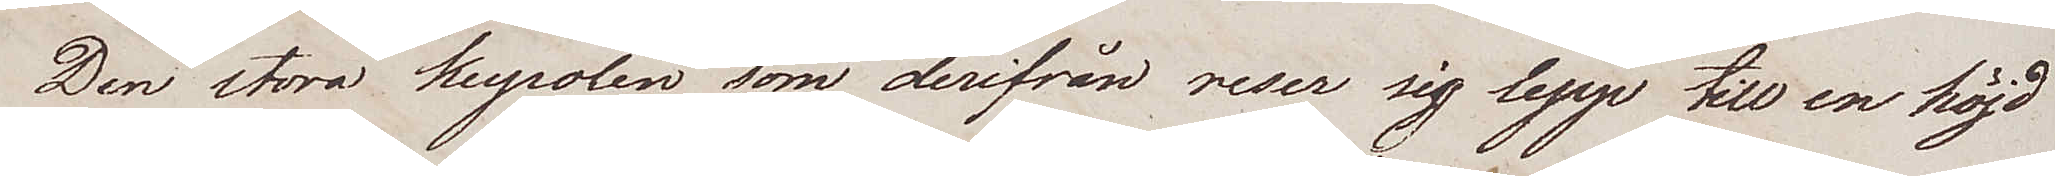Den stora kupolen som derifrån reser sig upp till en höjd
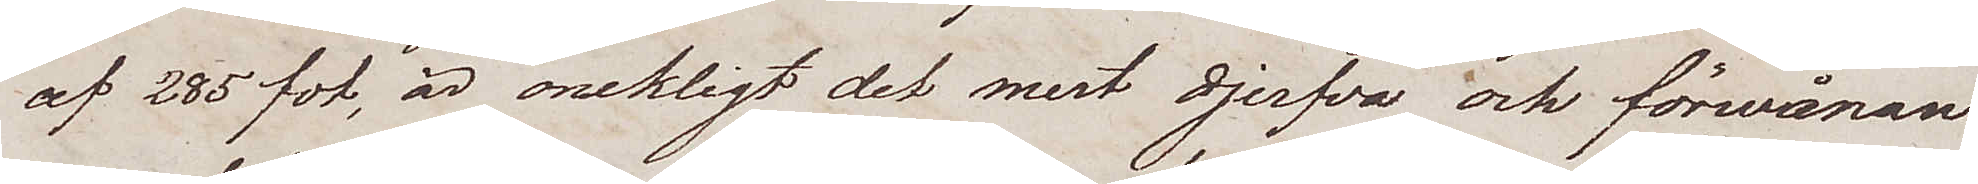af 285 fot, är onekligt det mest djerfva och förvånan¬
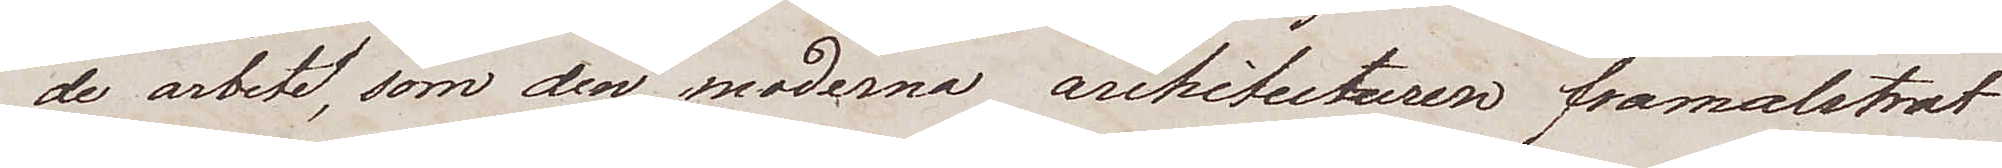de arbetet, som den moderna arhitecturen framalstrat
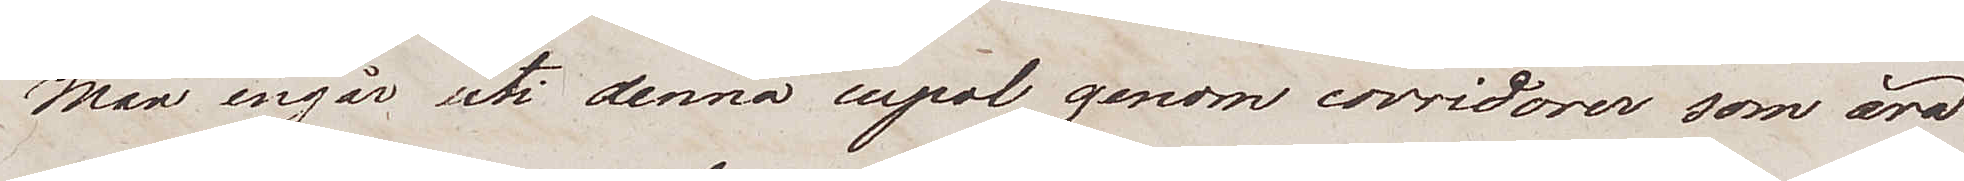Man ingår uti denna cupol genom corridorer som äro
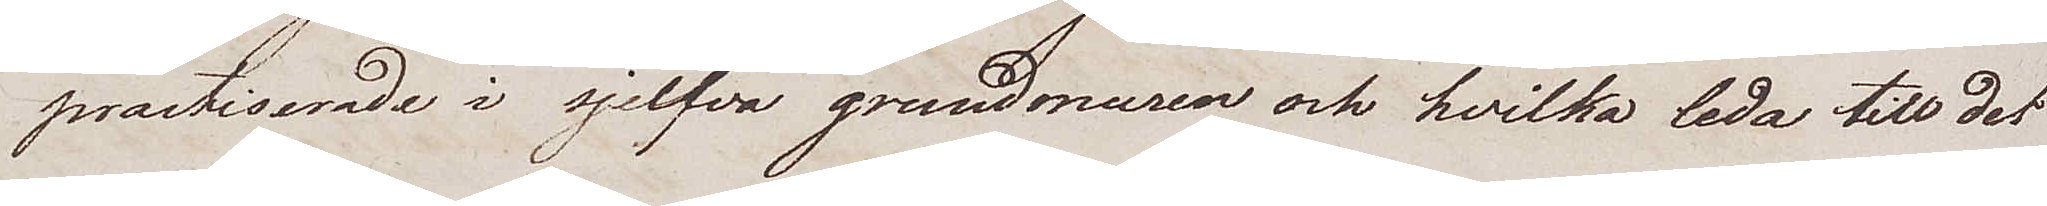practiserade i sjelfva grundmuren och hvilka leda till det
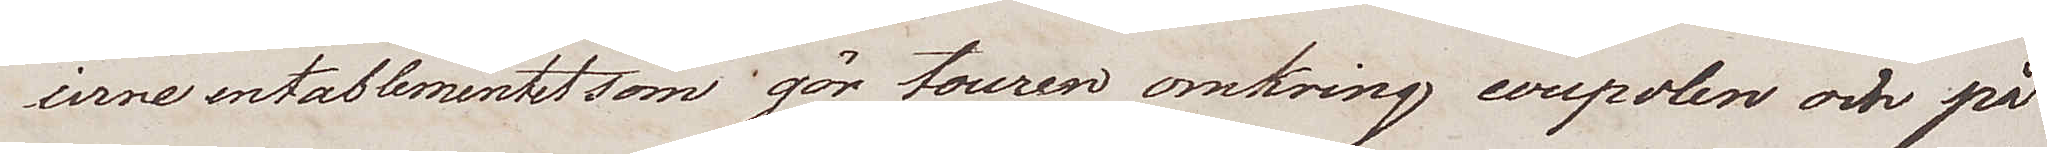irne entablementet som gör touren omkring coupolen och på
